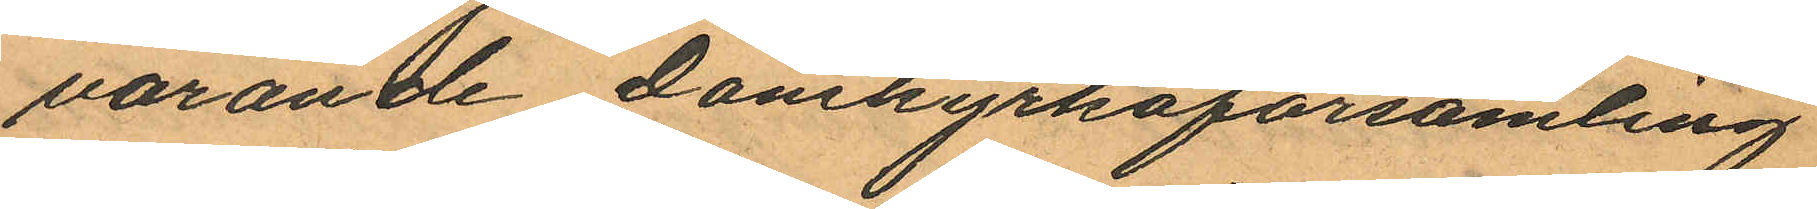varande Domkyrkoförsamling
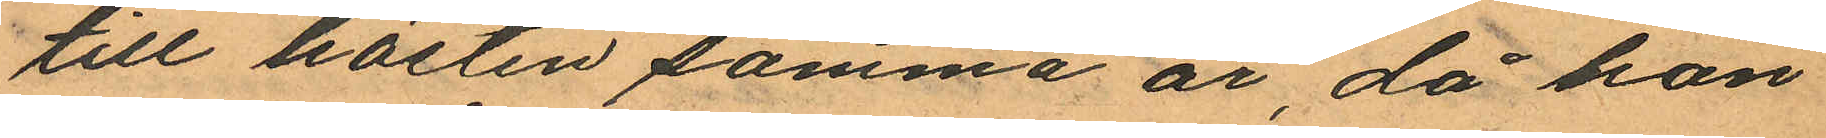till hösten samma år, då hon
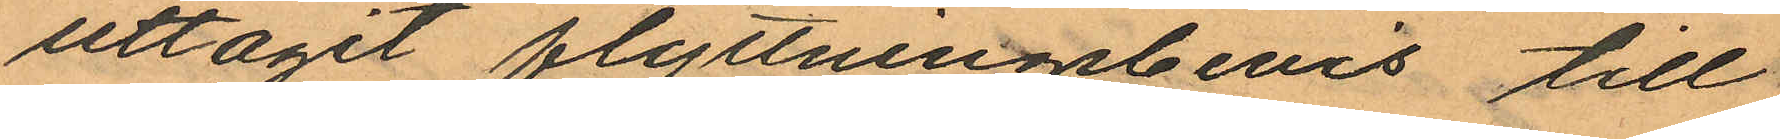uttagit flyttningsbevis till
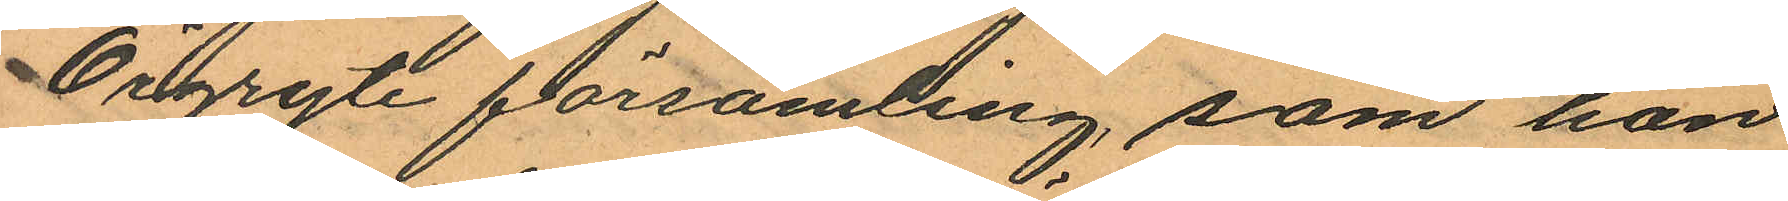Örgryte församling, som hon
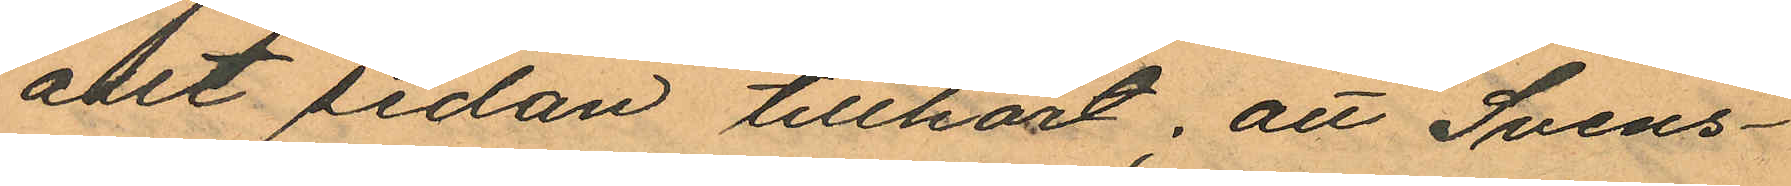allt sedan tillhört, att Svens¬
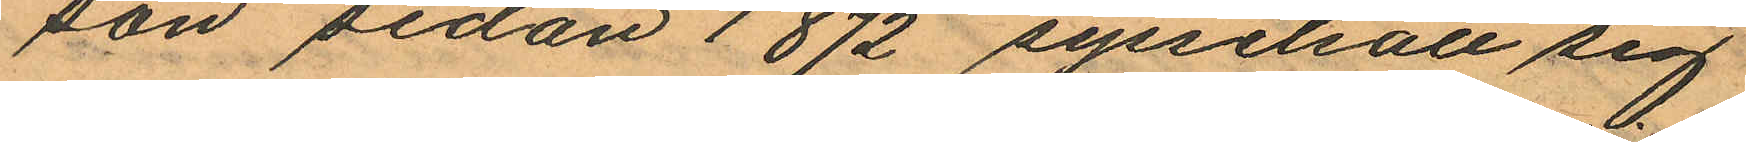son sedan 1872 sysselsatt sig
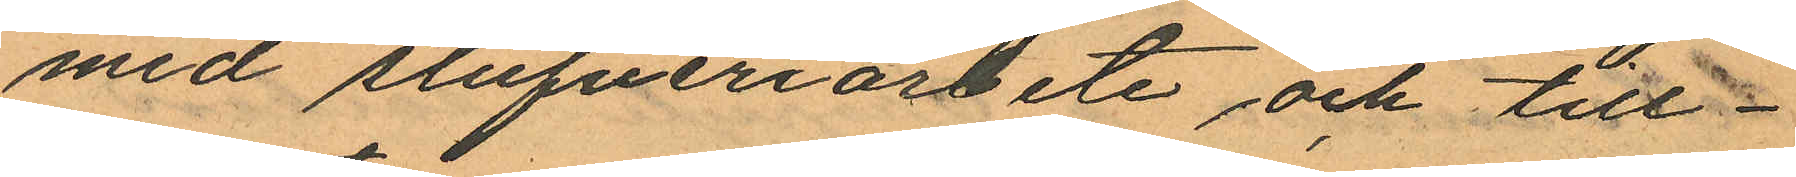med stufveriarbete och till¬
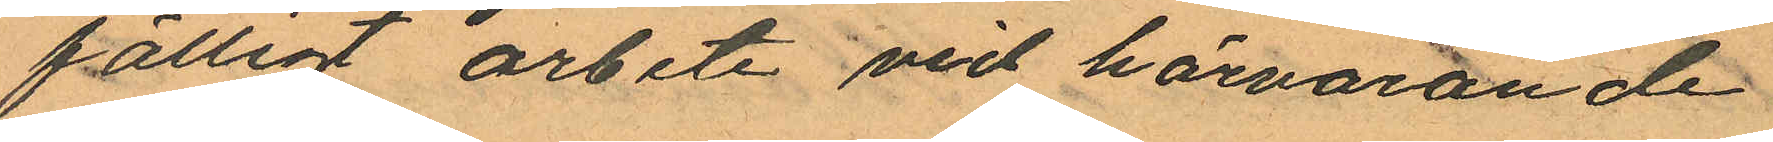fälligt arbete vid härvarande
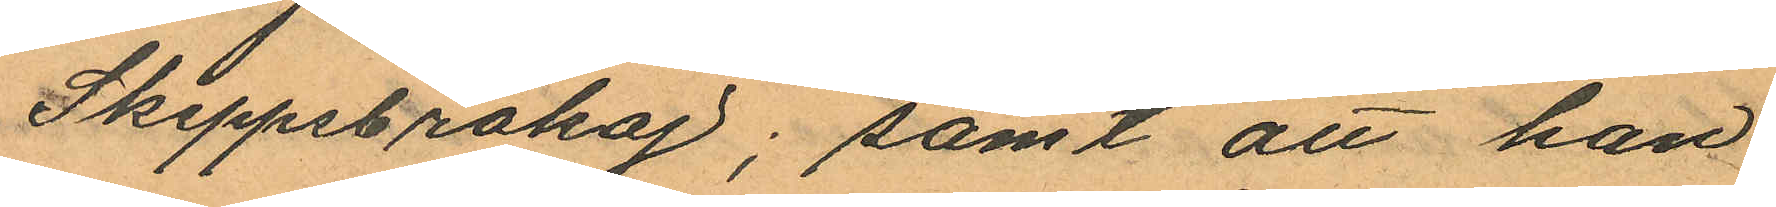Skeppsbrokaj; samt att han
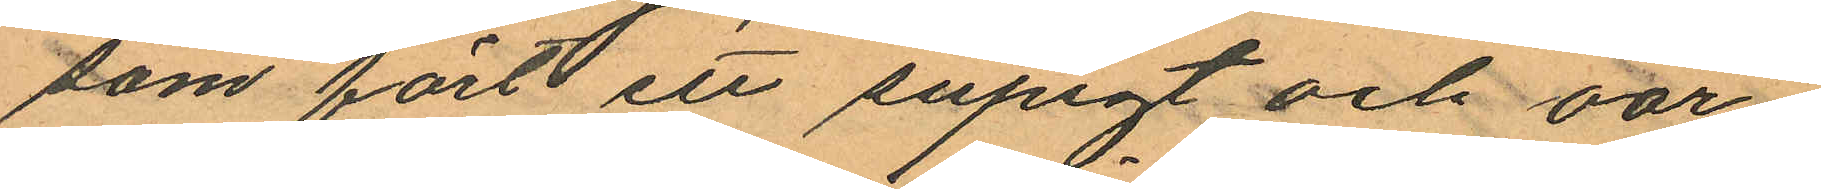som fört ett supigt och oor¬
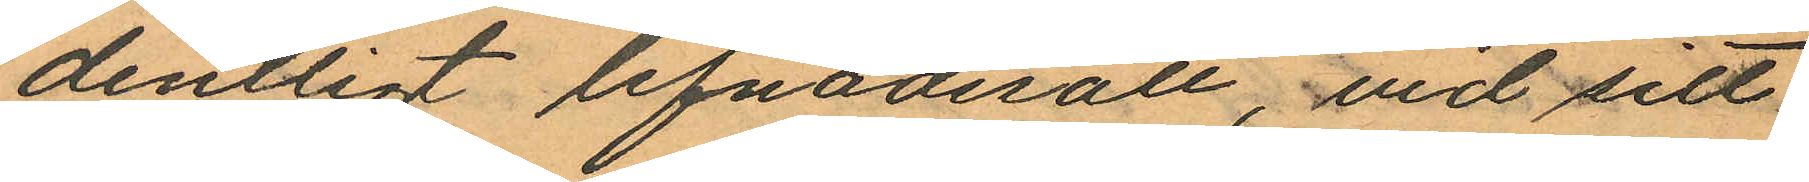dentligt lefnadsätt, vid sitt
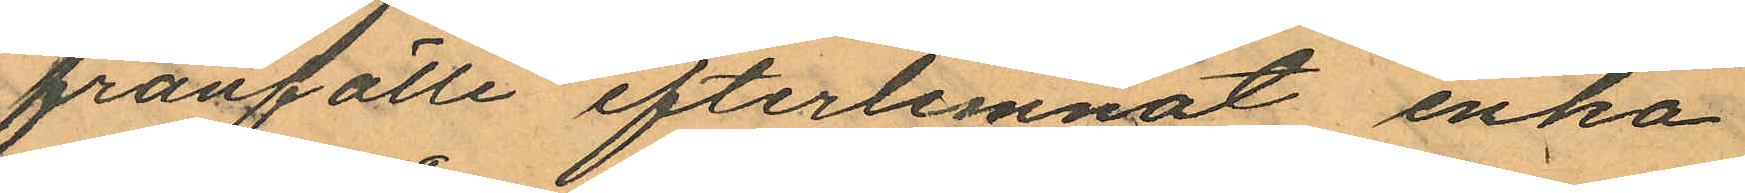frånfälle efterlemnat enka
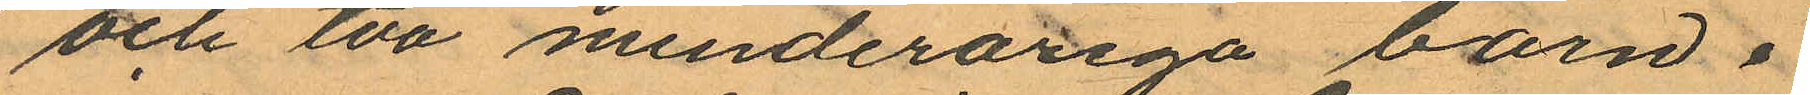och två minderåriga barn i
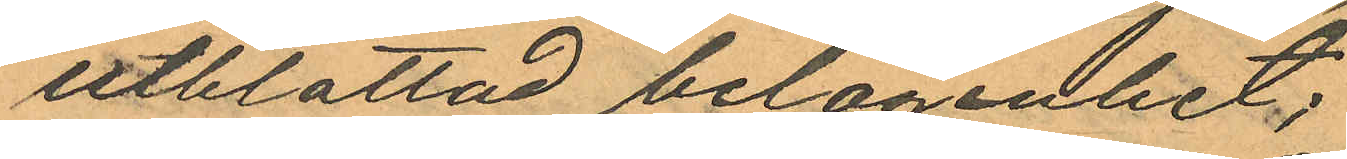utblottad belägenhet;
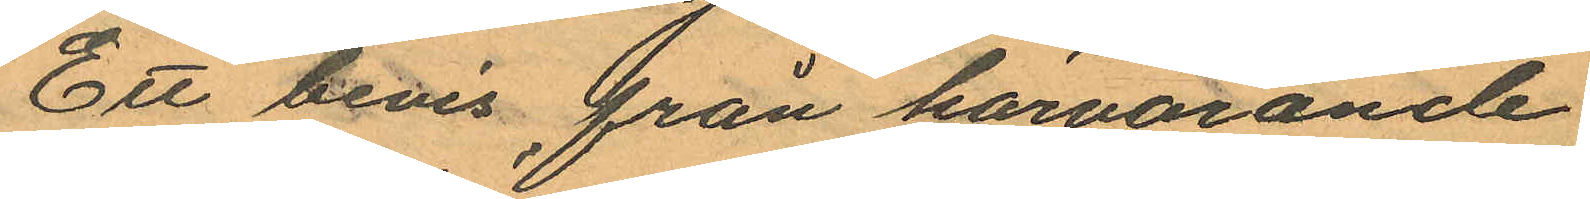Ett bevis från härvarande
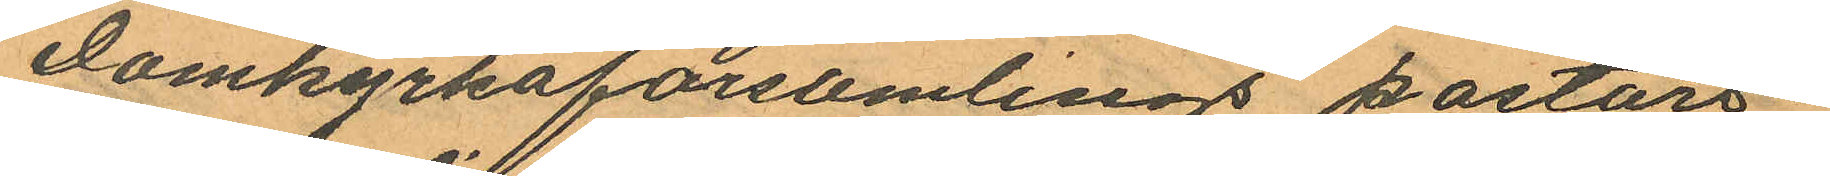Domkyrkoförsamlings pastors¬
